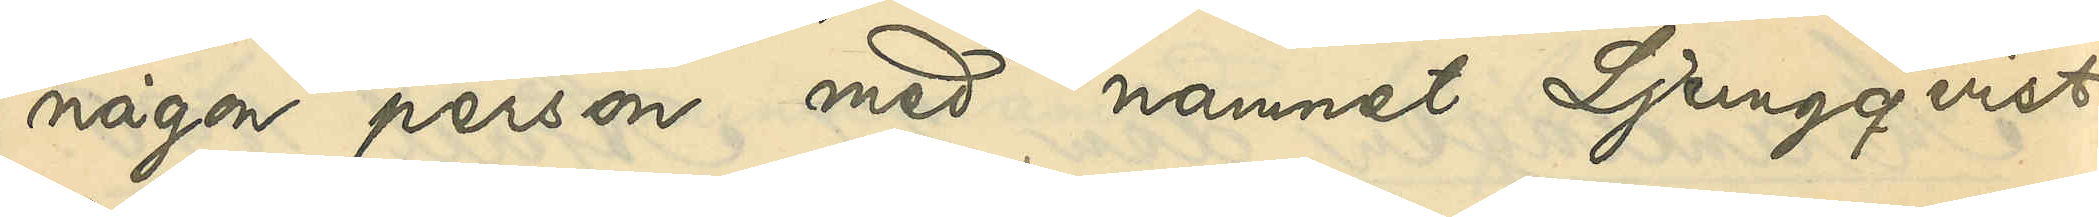någon person med namnet Ljungqvist
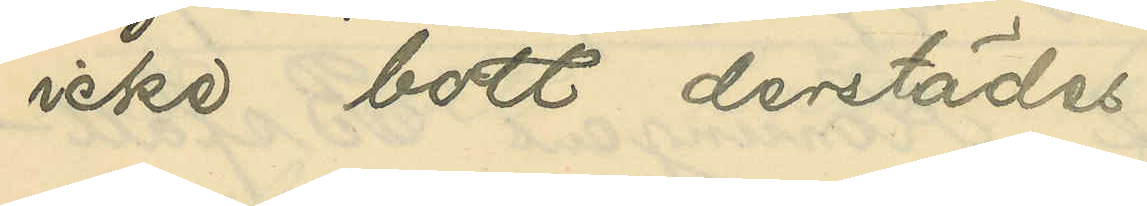icke bott derstädes.
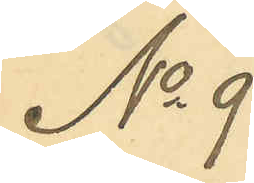No 9
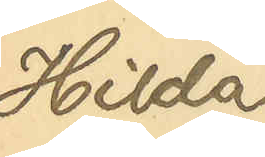Hilda
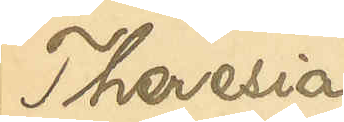Theresia
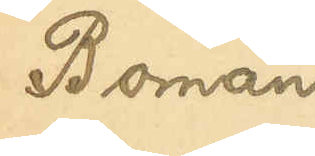Boman
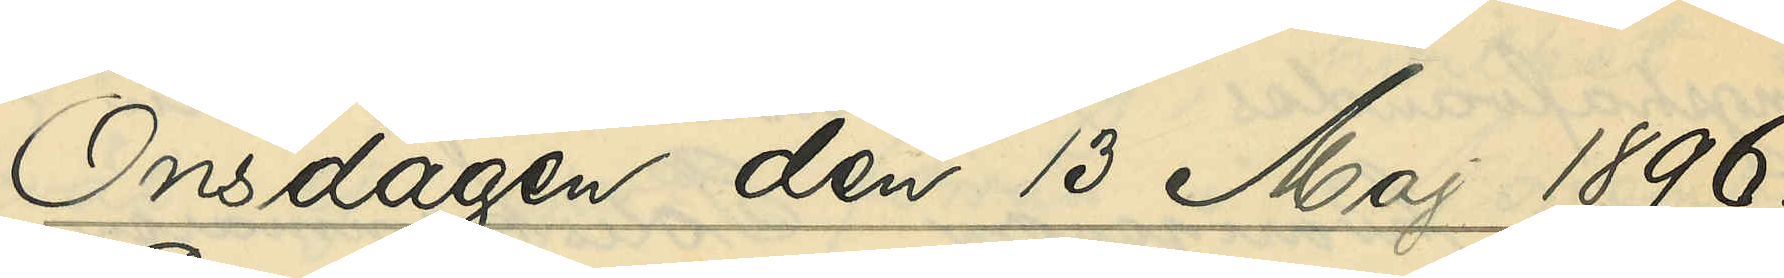Onsdagen den 13 maj 1896.
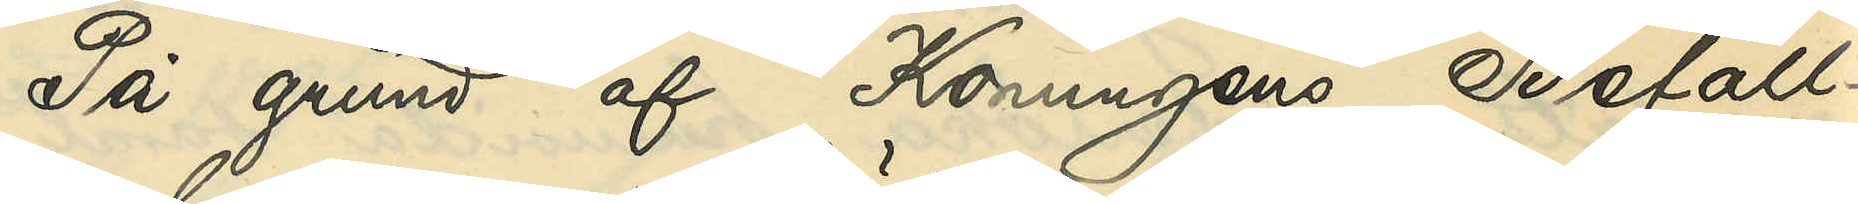På grund af Konungens Befall¬
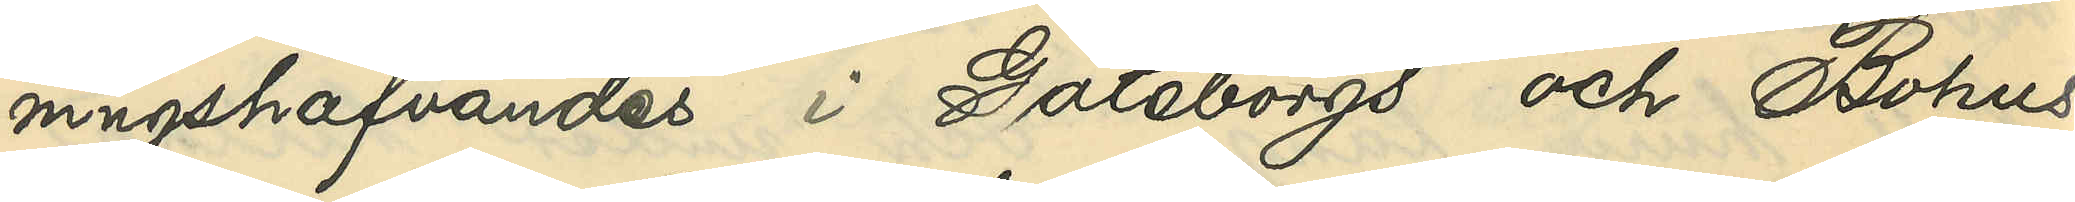ningshafvandes i Göteborgs och Bohus
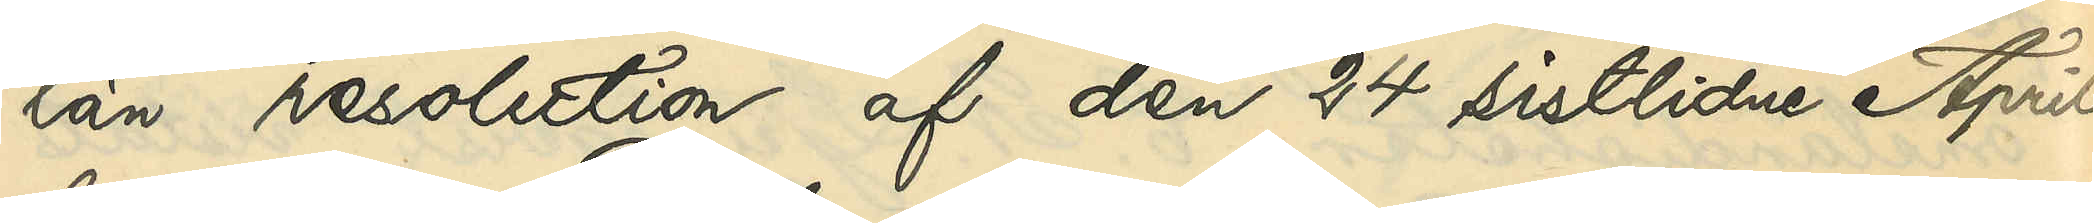län resolution af den 24 sistlidne April,
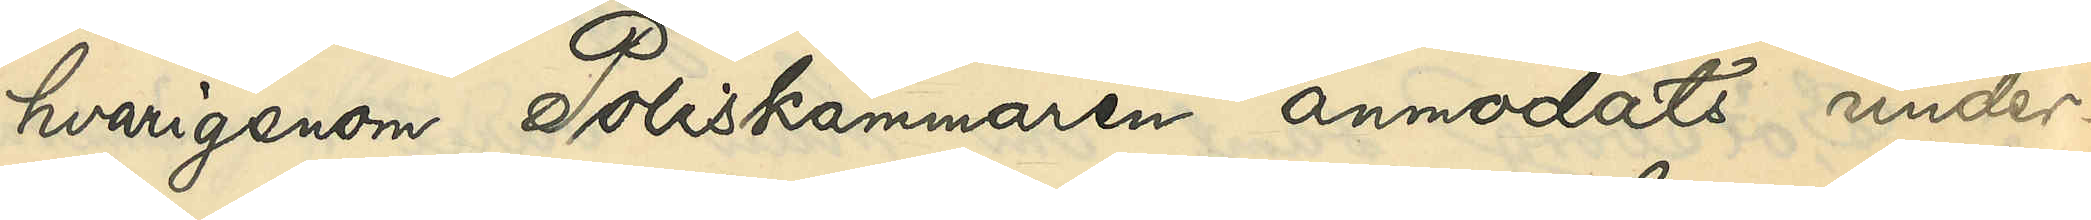hvarigenom Poliskammaren anmodats under¬
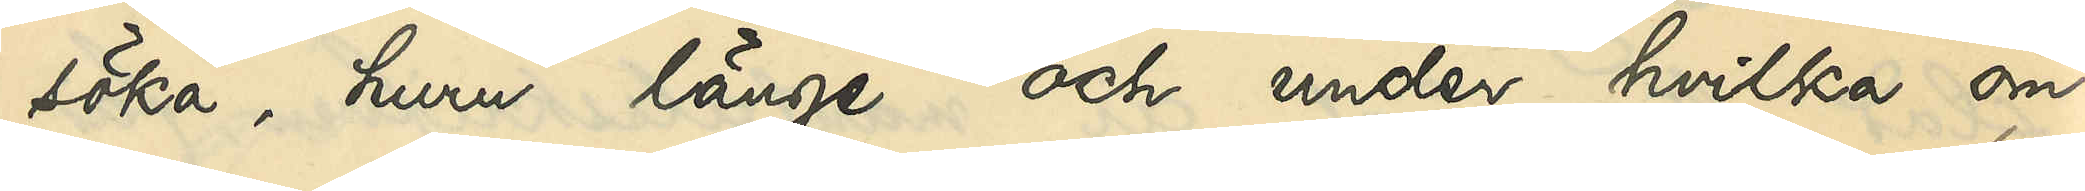söka, huru länge och under hvilka om¬
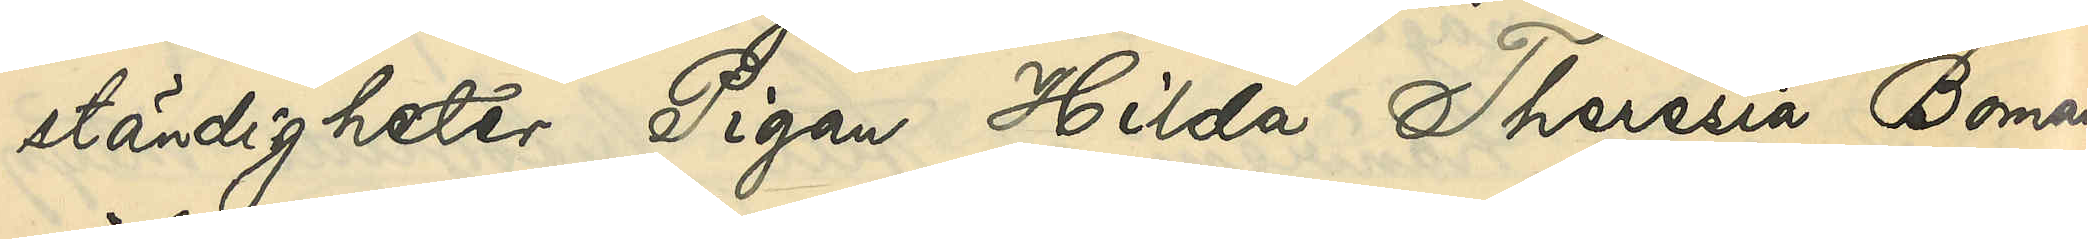ständigheter Pigan Hilda Theresia Boman
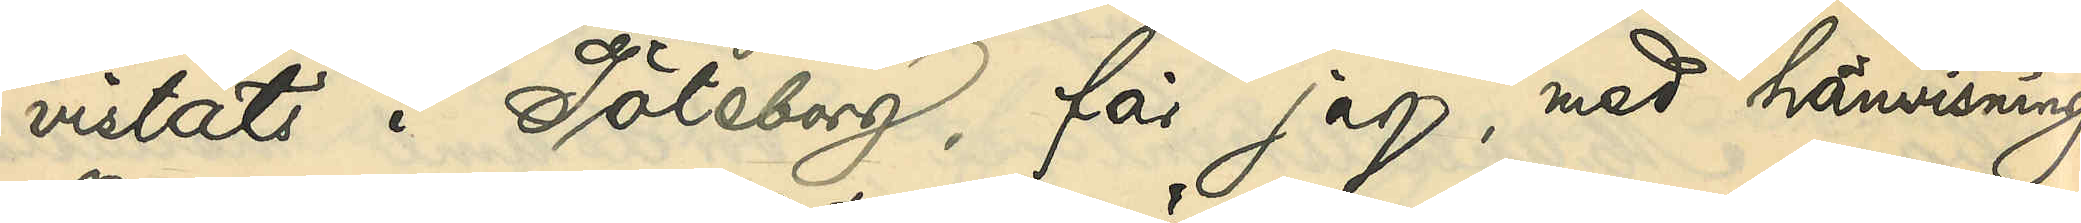vistats i Göteborg, får jag, med hänvisning
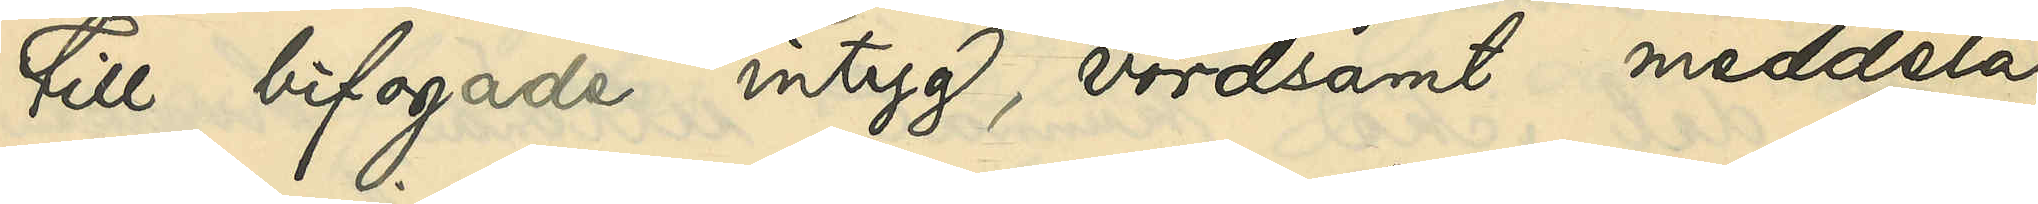till bifogade intyg, vördsamt meddela,
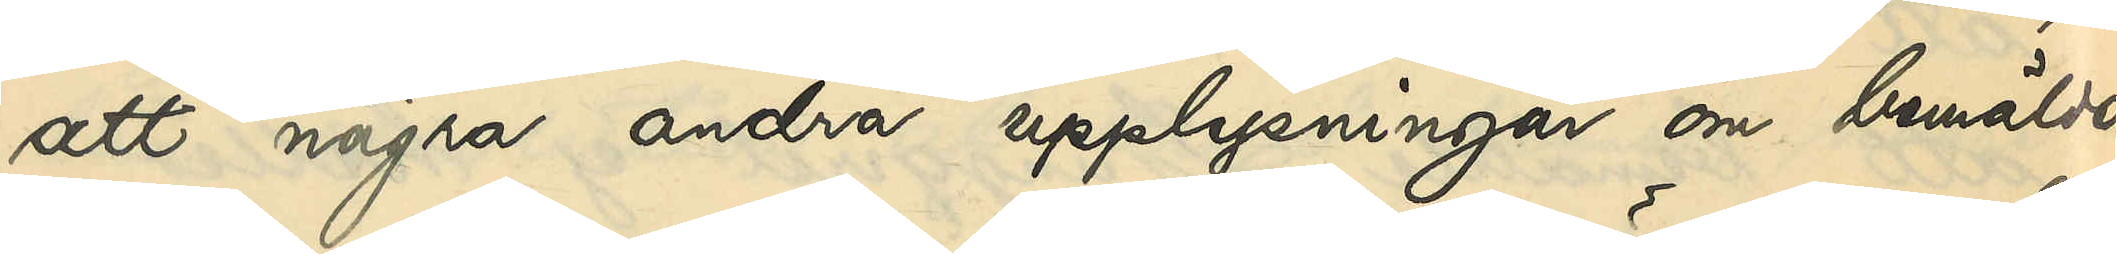att några andra upplysningar om bemälda
